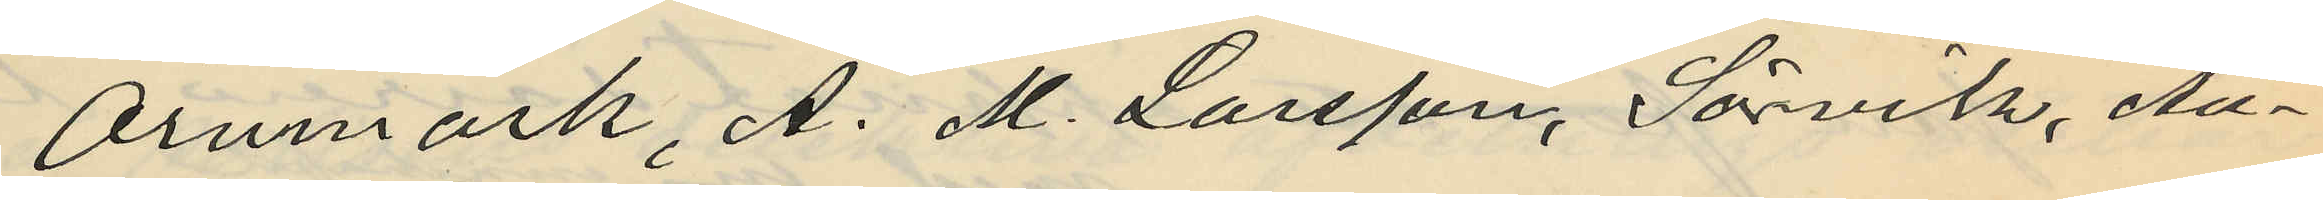Örnmark, A. M. Larsson, Sörvik, Au¬
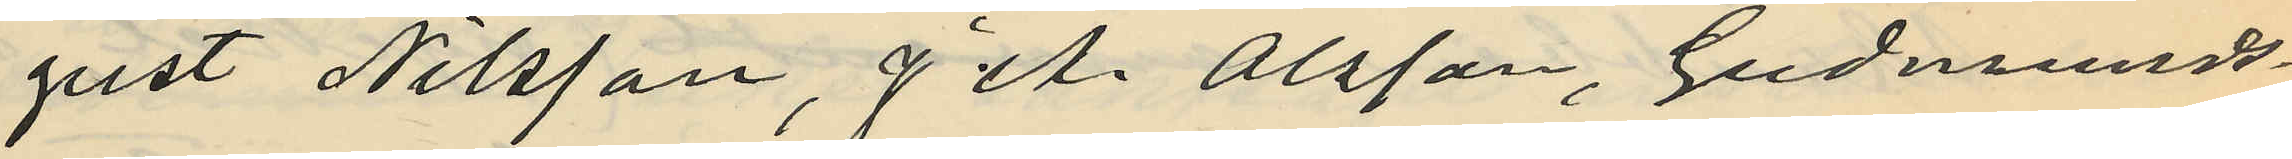gust Nilsson, J. A. Olsson, Gudmunds¬
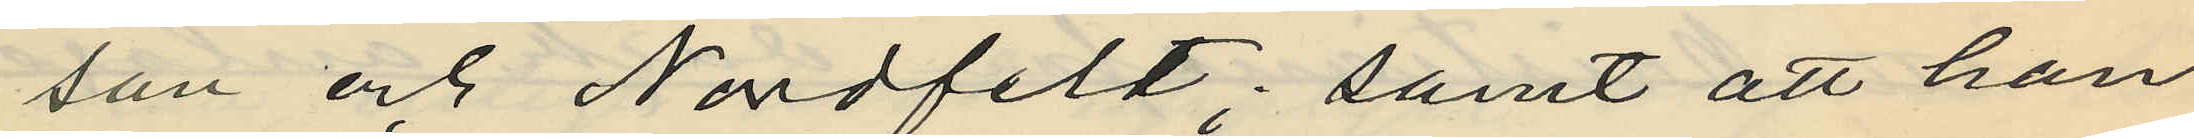son och Nordfelt; samt att han
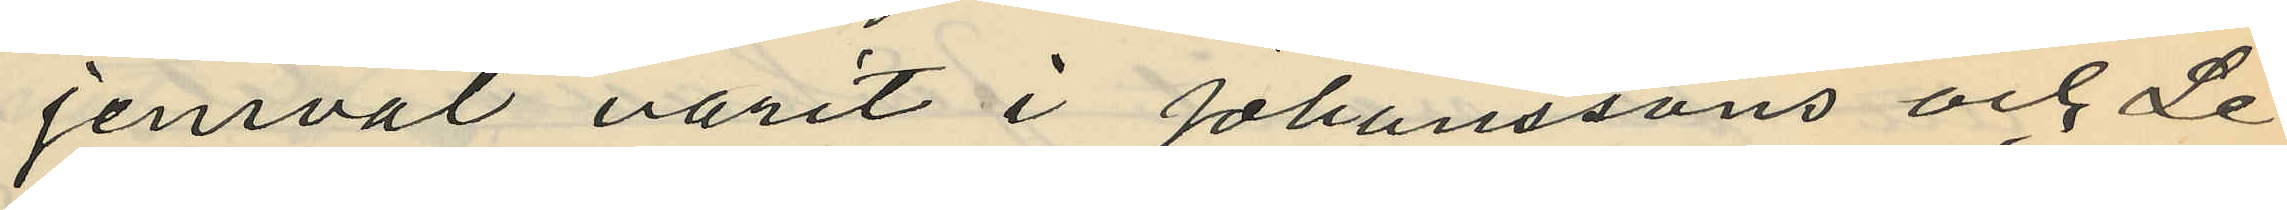jemväl varit i Johanssons och Le¬
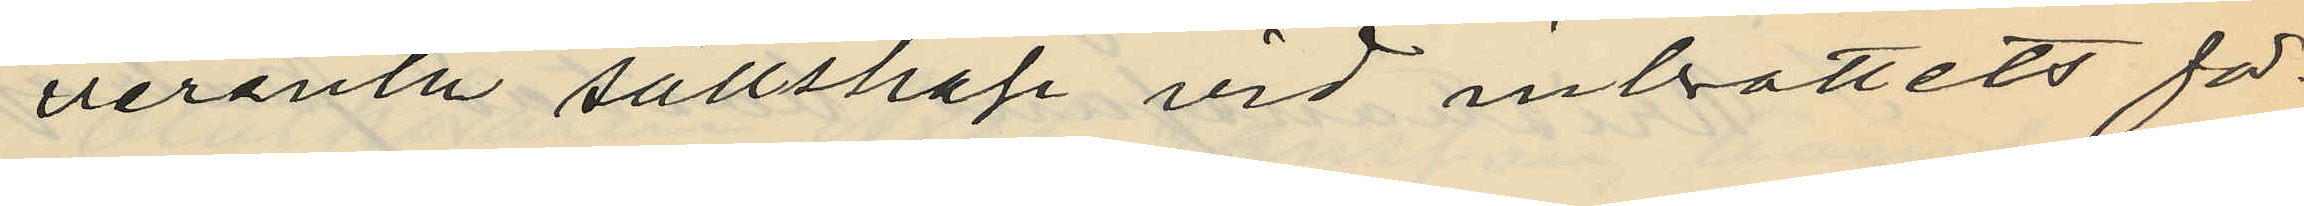verentz sällskap vid inbrottets fö¬
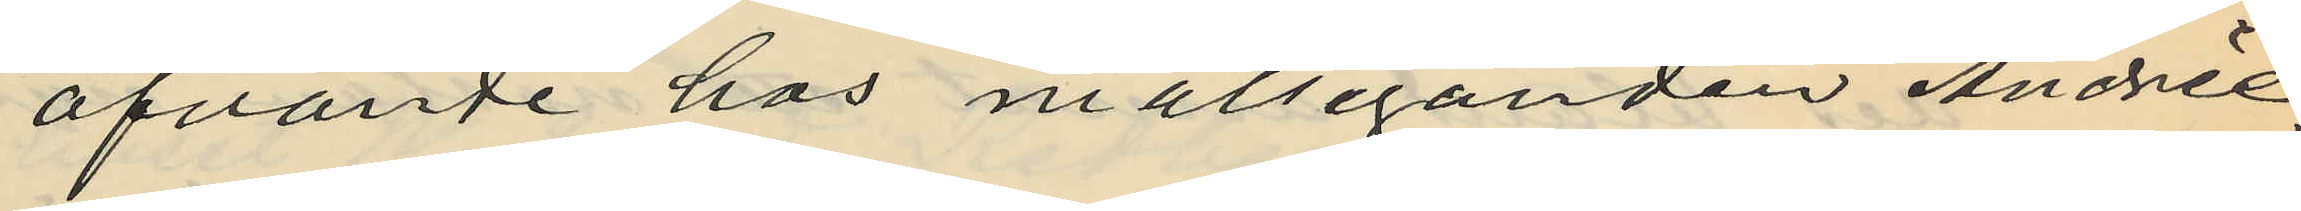öfvande hos målseganden Andrée;
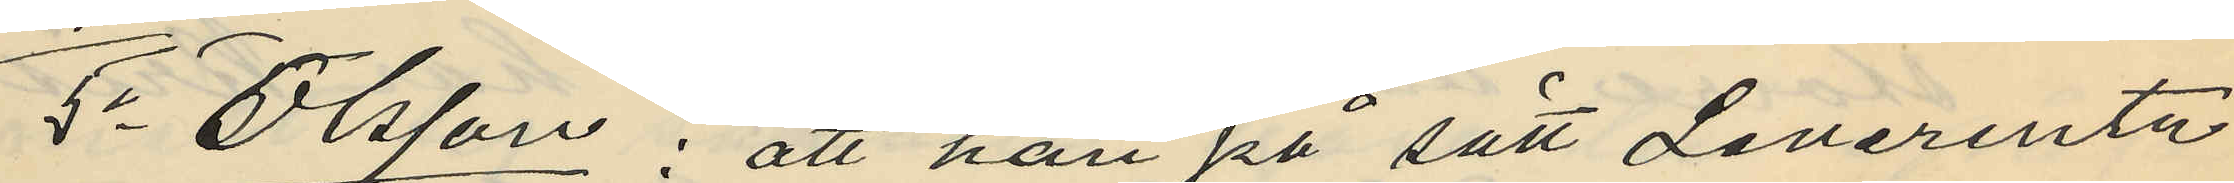5o Olsson: att han på sätt Leverentz
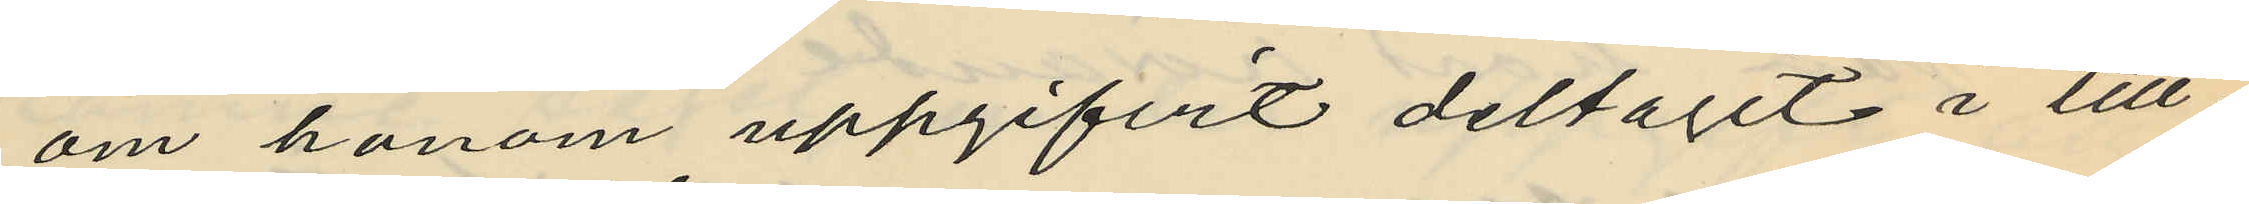om honom uppgifvit deltagit i till¬
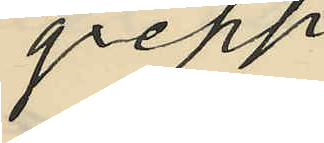greppet
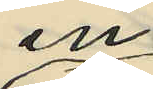en
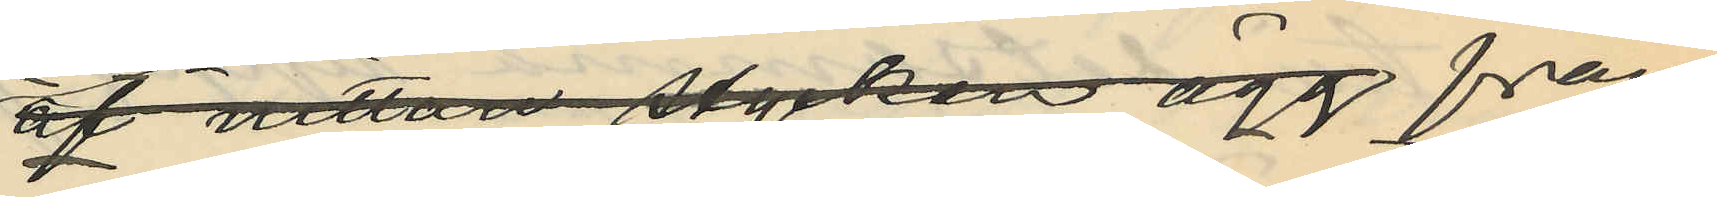af nitton stycken ägg från
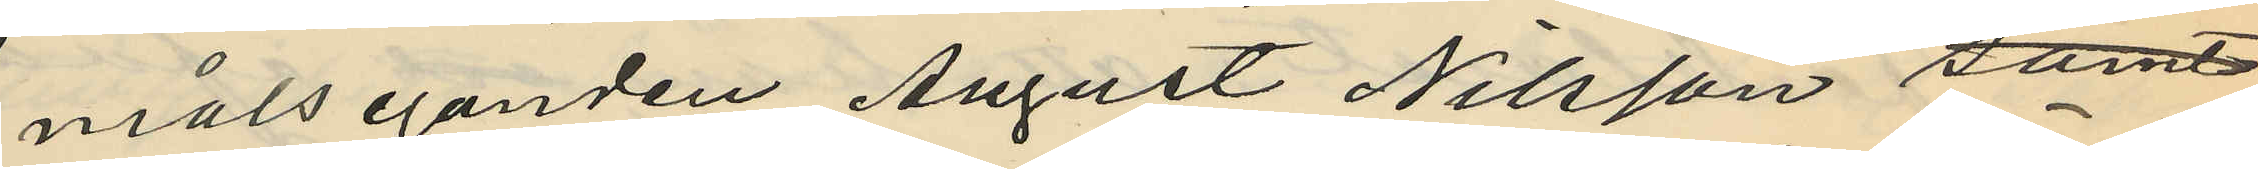målseganden August Nilsson samt
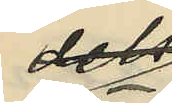dels
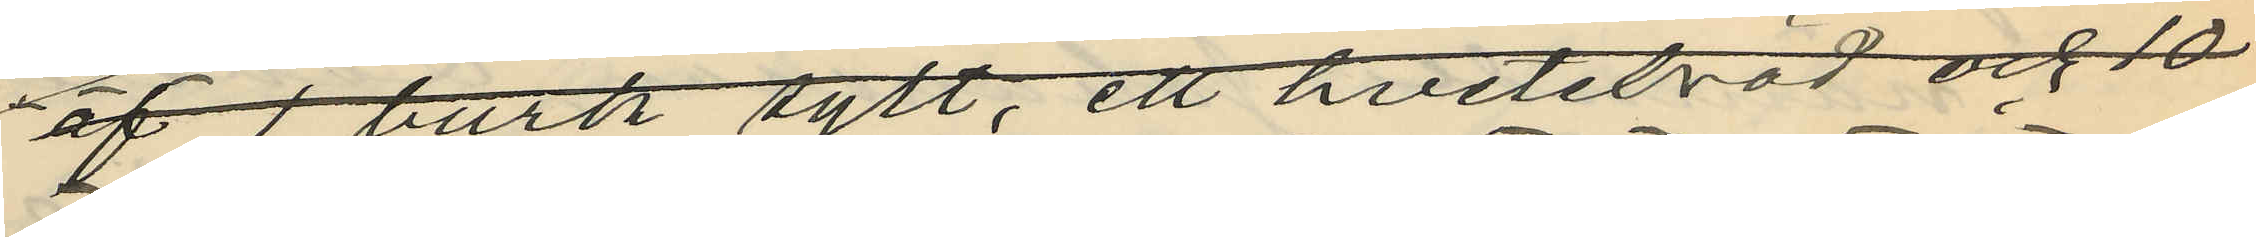af 1 burk sylt, ett hvetebröd och 10
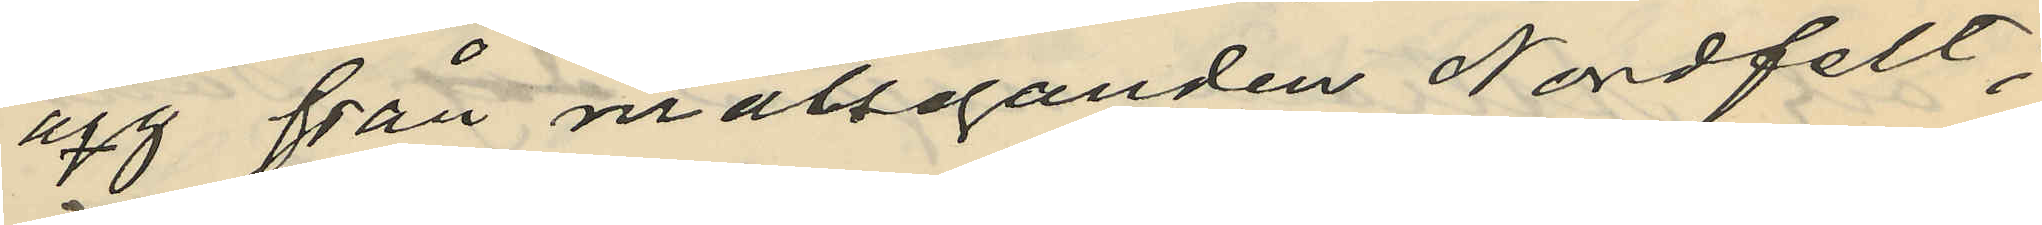ägg från målseganden Nordfelt,
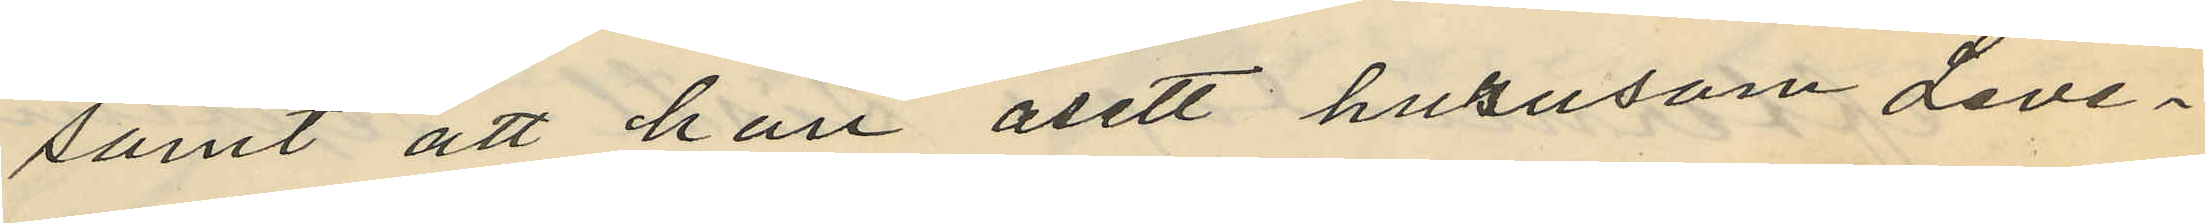samt att han åsett hurusom Leve¬
